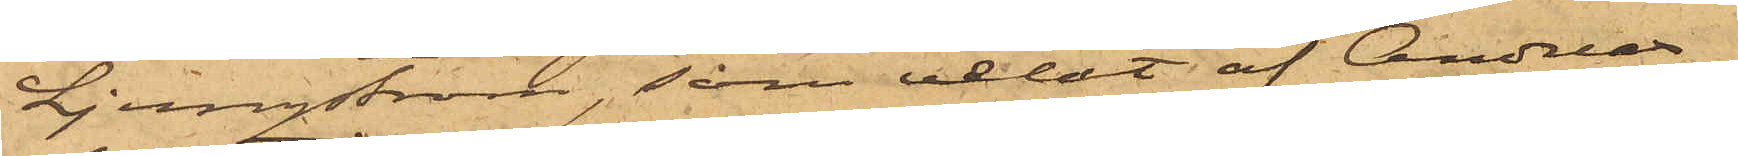Ljungström, som velat af Anders¬
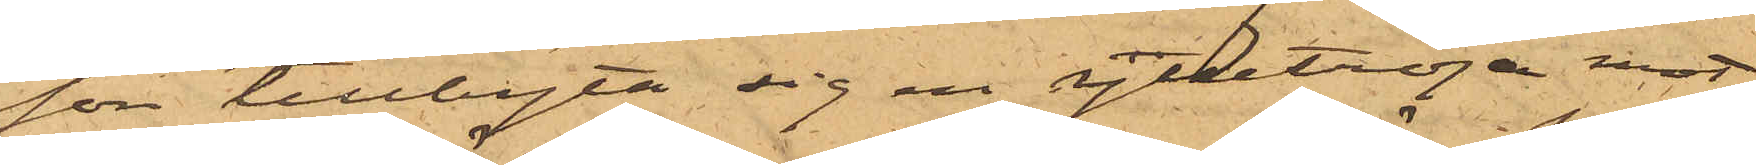son tillbyta sig en ylletröja mot
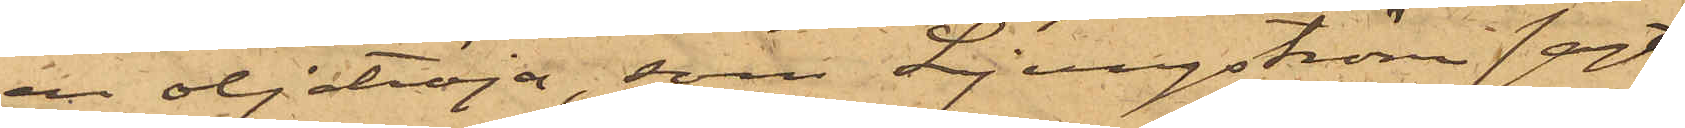en oljetröja, som Ljungström sagt
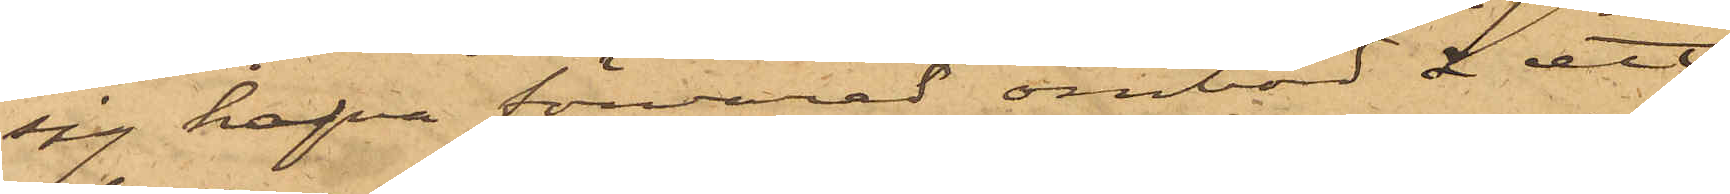sig hafva förvarad ombod å ett
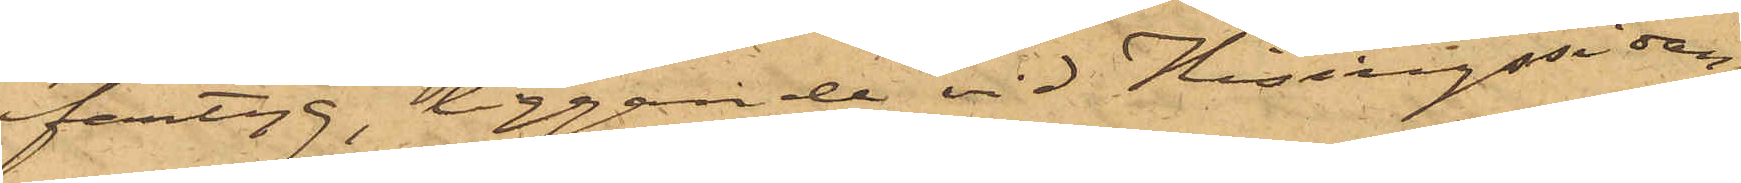fartyg, liggande vid Hisingssidan,
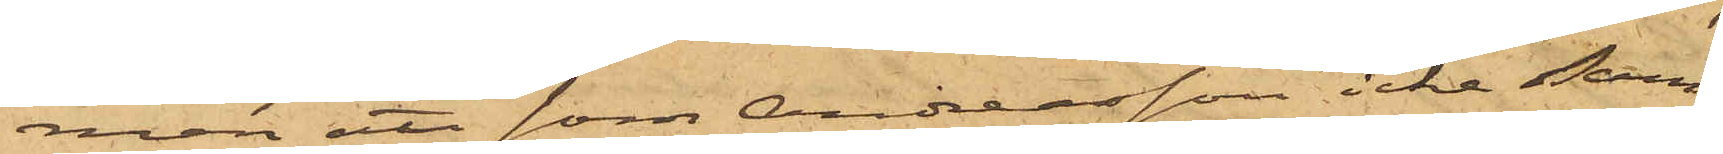men att som Andersson icke sam¬
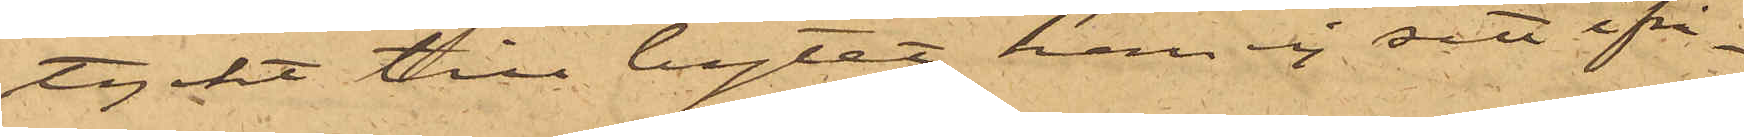tyckt till bytet, han ej sett ifrå¬
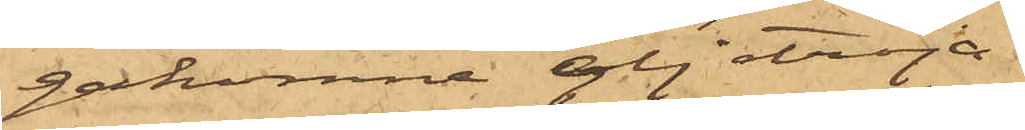gakomne oljetröja.
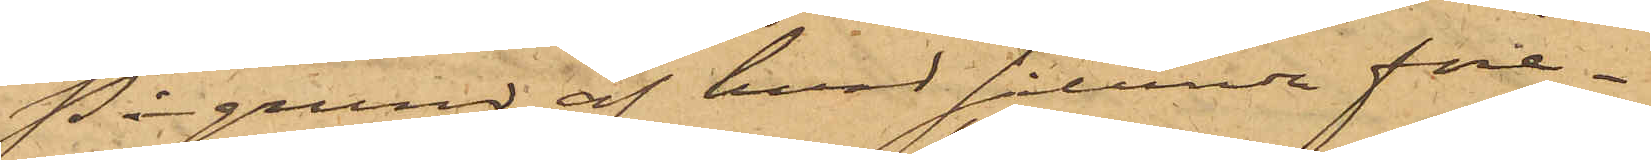På grund af hvad sålunda före¬
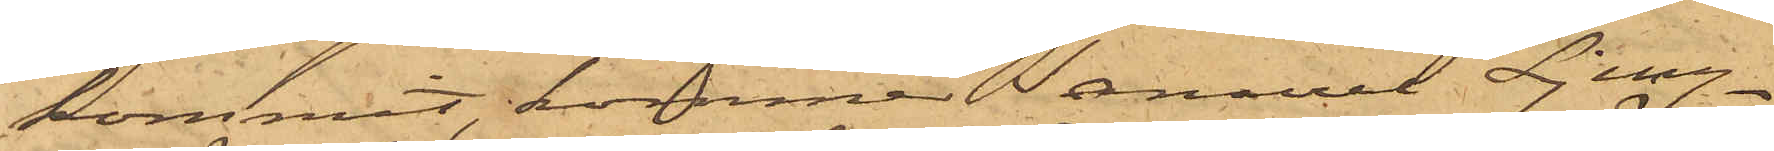kommit, kommer Samuel Ljung¬
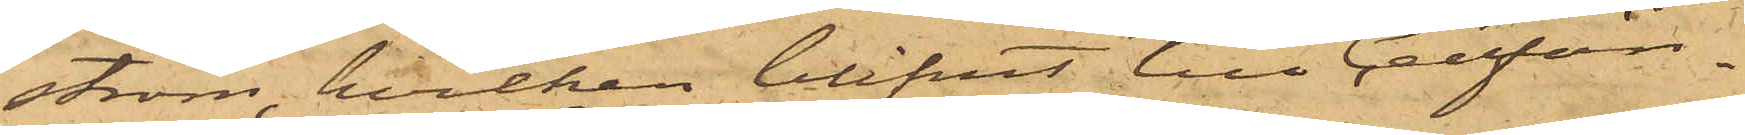ström, hvilken blifvit till Cellfän¬
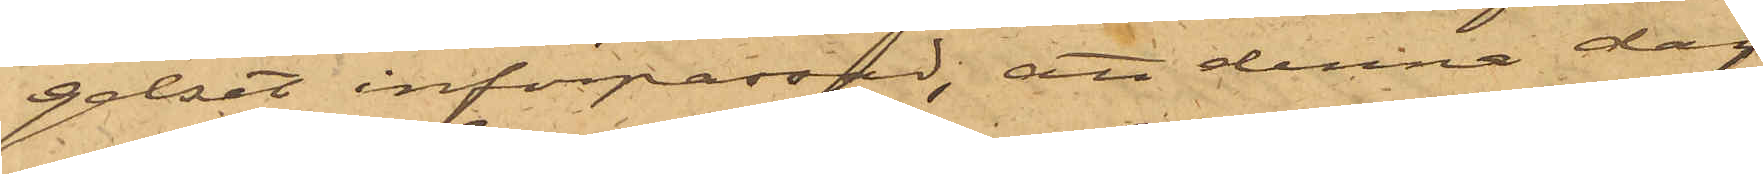gelset införpassad, att denna dag
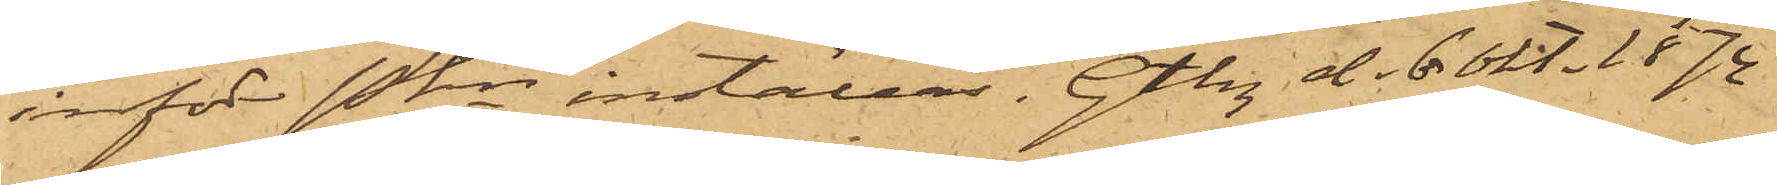inför Pkn inställas. Gtbg d. 6 Okt. 1874
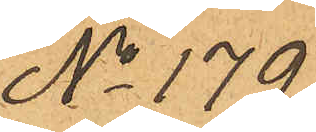No 179
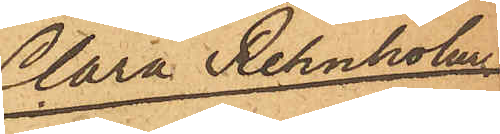Clara Rehnholm
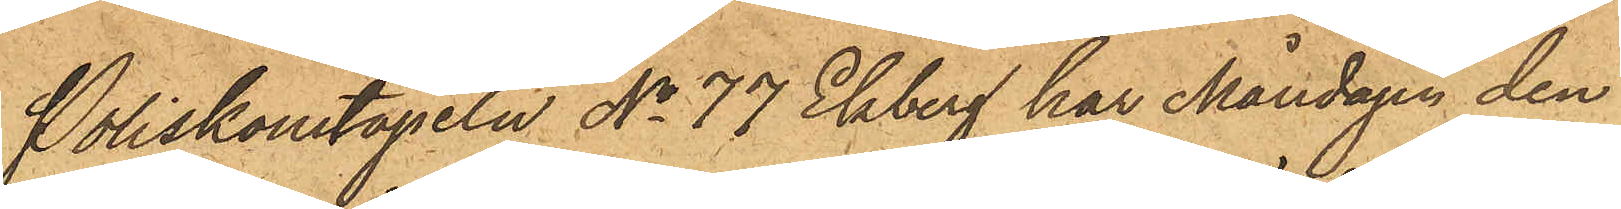Poliskonstapeln No 77 Ekberg har Måndagen den
